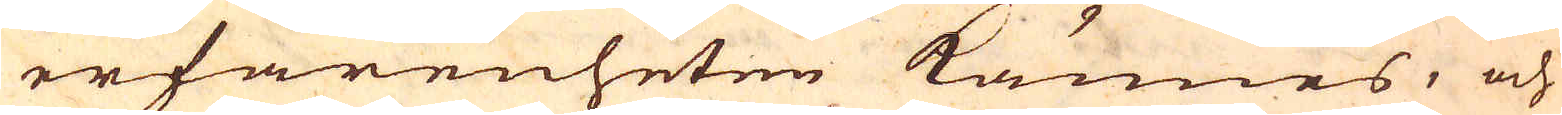erfarenheten kännes, och
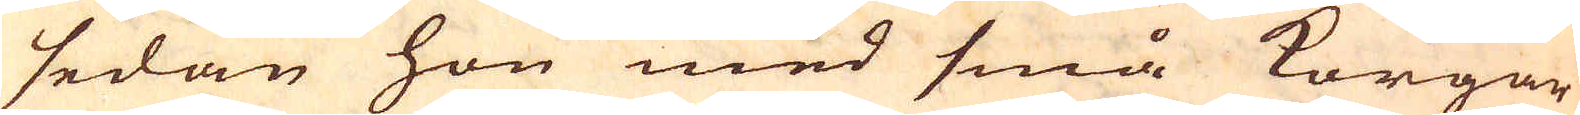sedan hon med små korgar
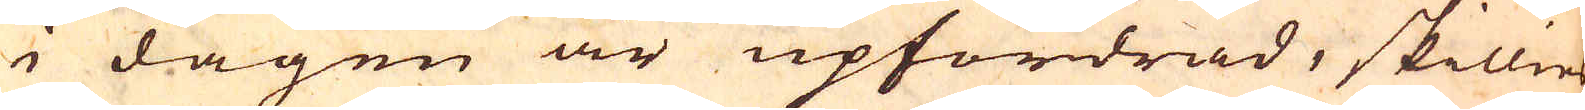i dagen är upfordrad, skillies
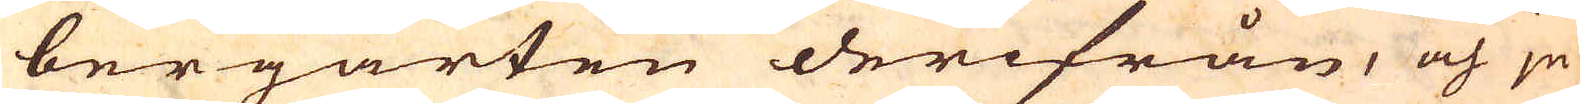bergarten derifrån, och ju
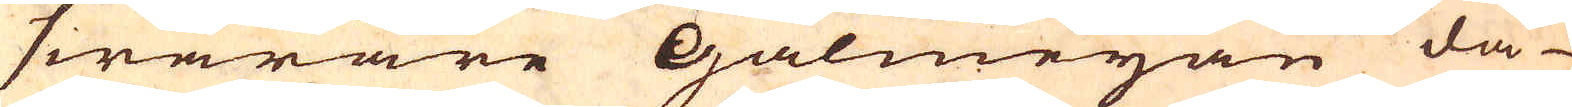swåråre Galmejan då
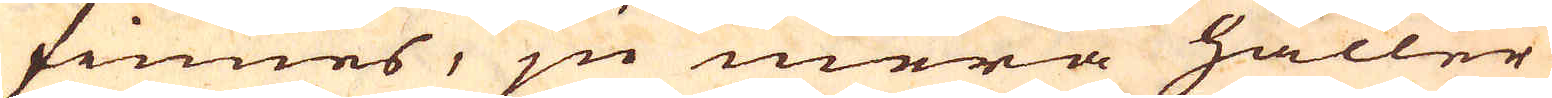finnes, ju mera håller
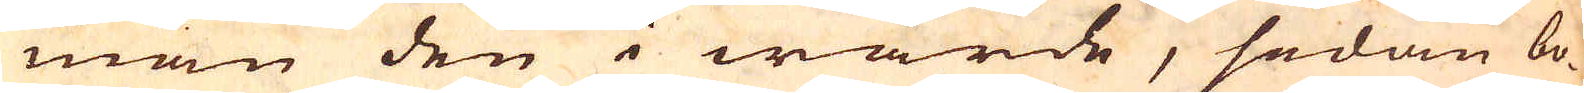man den i wärde, sedan bo-
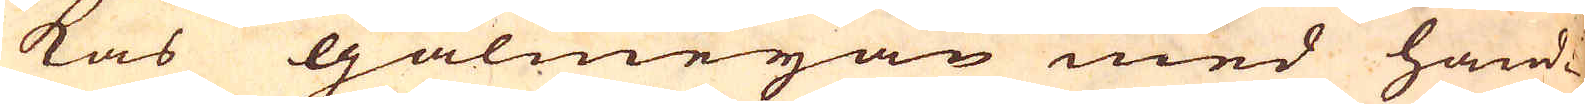kas galmejan med hand-
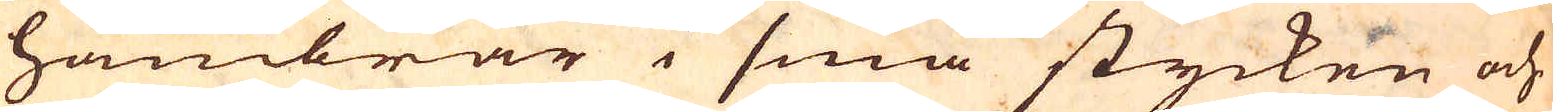hambrar i små stycken och
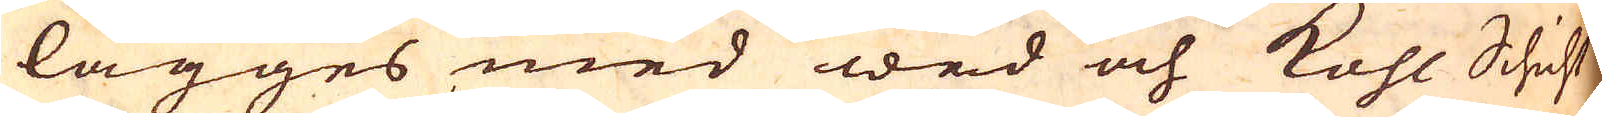lägges med wed och kohl Schicht
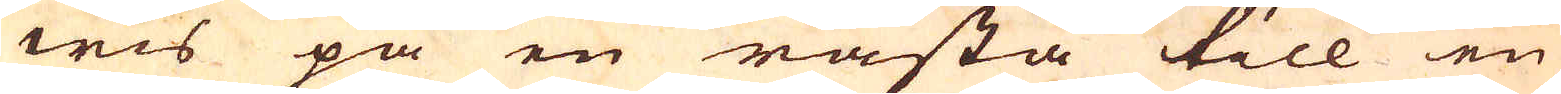wis på en råsta till en
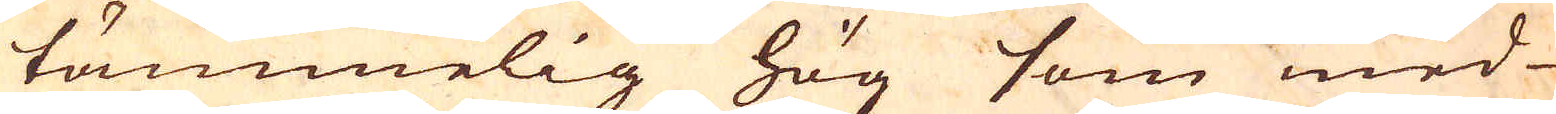tämmelig hög som med
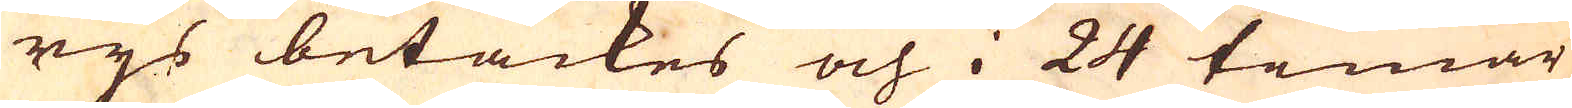rijs betäckes och i 24 timar
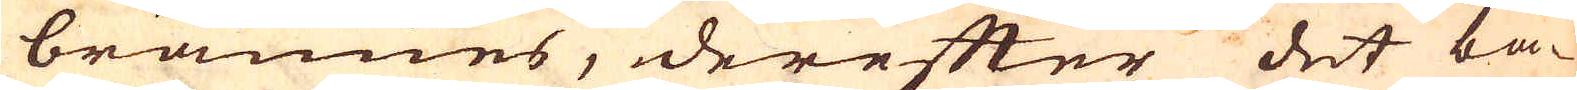brännes, derefter det bä-
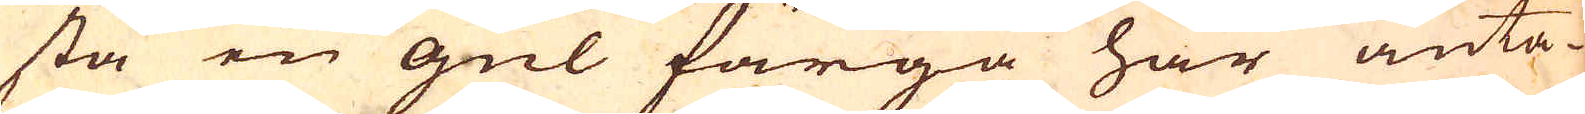sta en gul färga har anta-
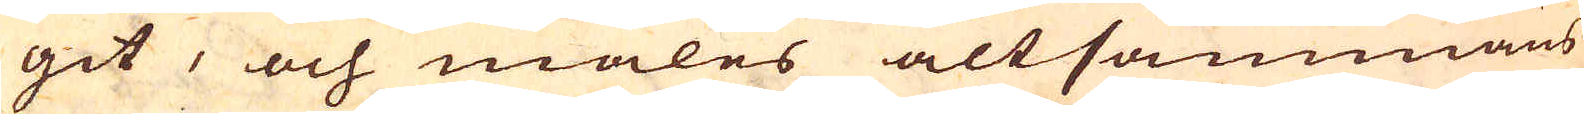git, och males altsammans
